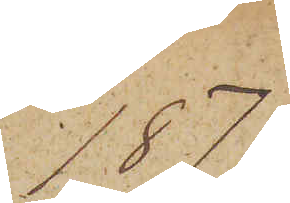1879
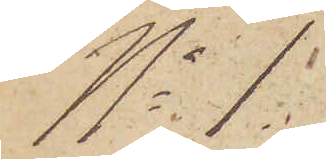No 1.
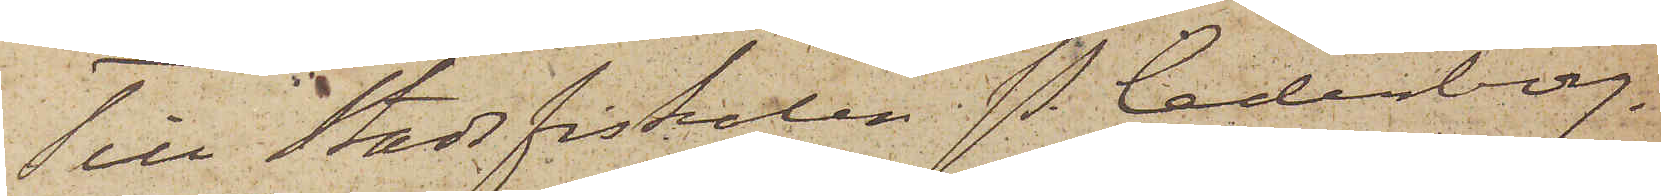Till Stadsfiskalen P. Cederborg.
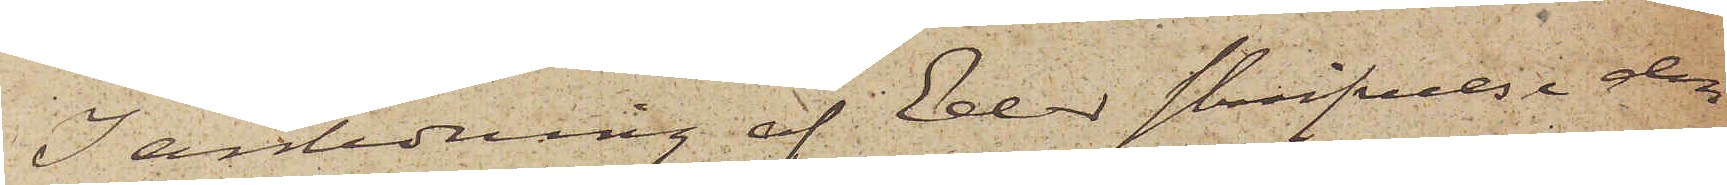I anledning af Eder skrifvelse den
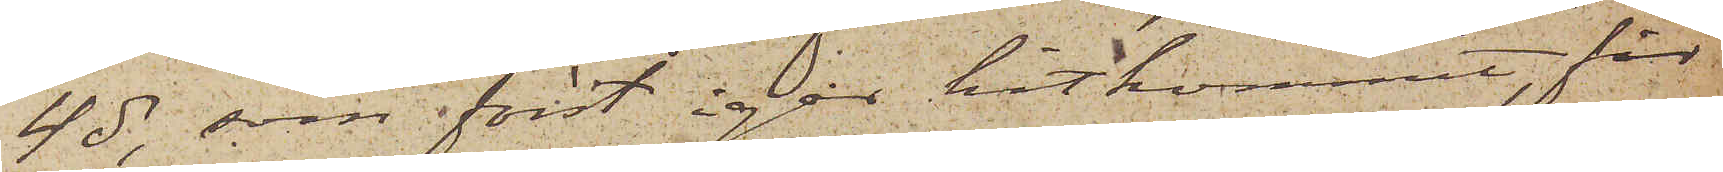4 ds, som först igår hitkommit, får
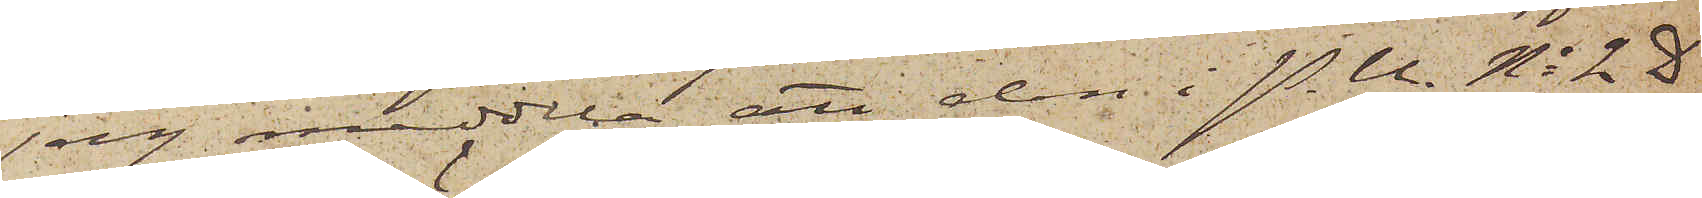jag meddela att den i P.U. No 2 D
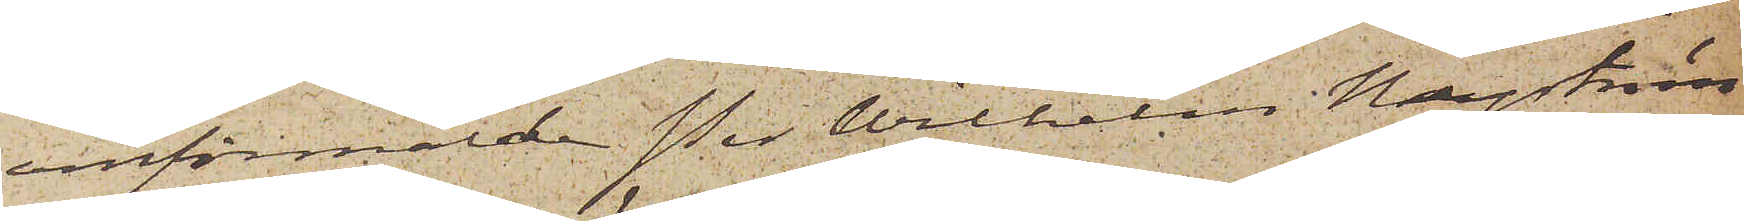omförmälde Per Wilhelm Nyström
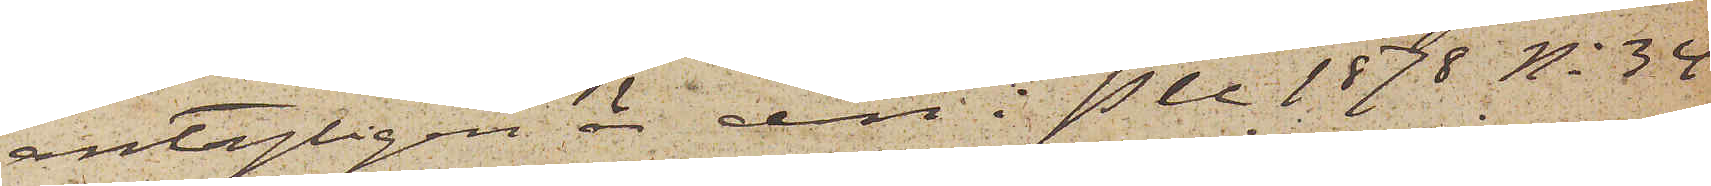antagligen är den i PU 1878 No 32
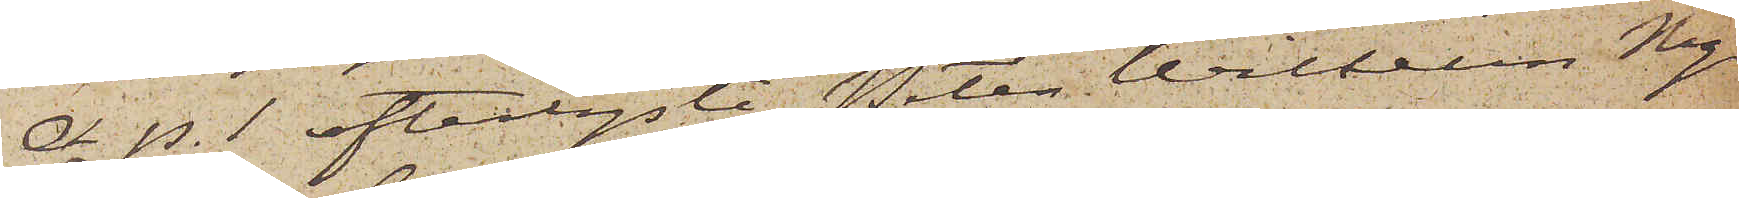A. p. 1 efterlyste Peter Wilkelin Ny¬
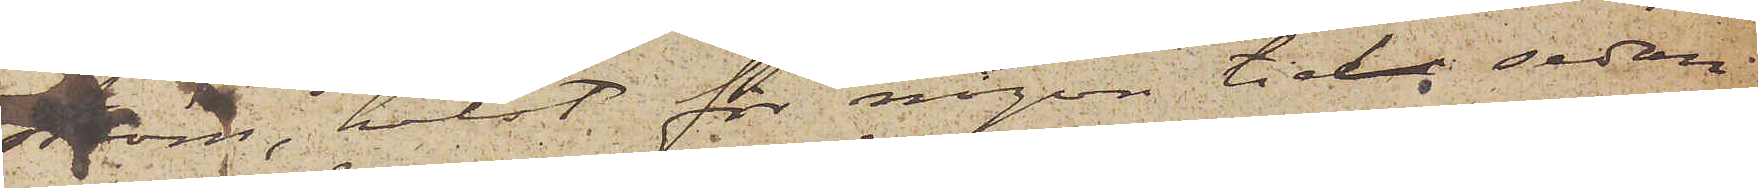ström, helst för någon tiden sedan
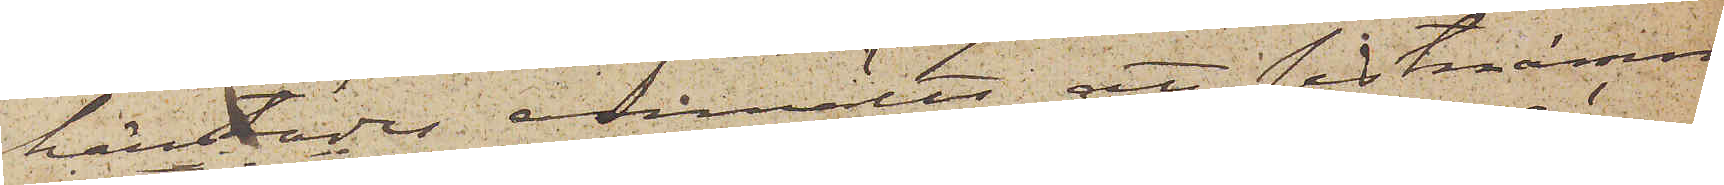härstädes anmälts att sistnämn¬
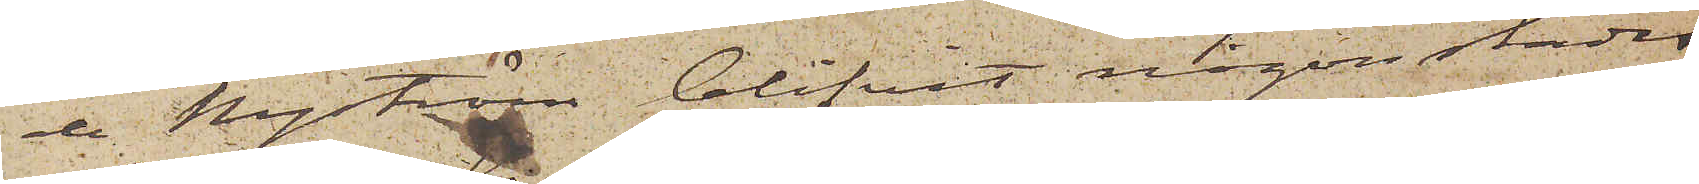de Nyström blifvit någonstädes
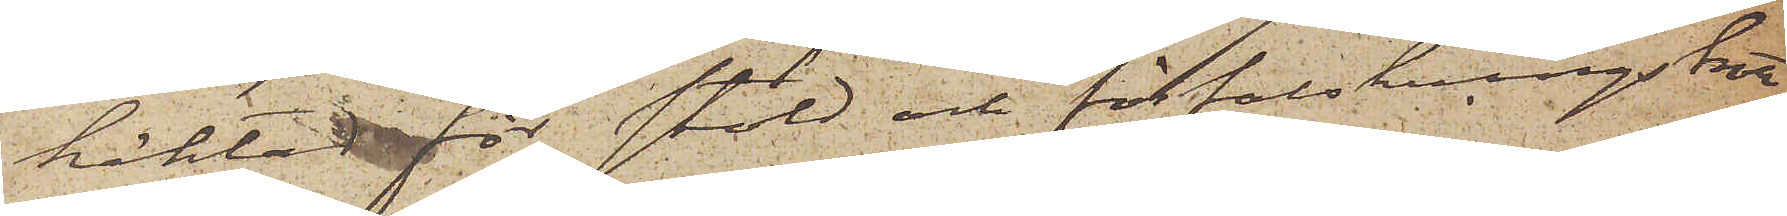häktad för stöld och förfalskningsbrott,
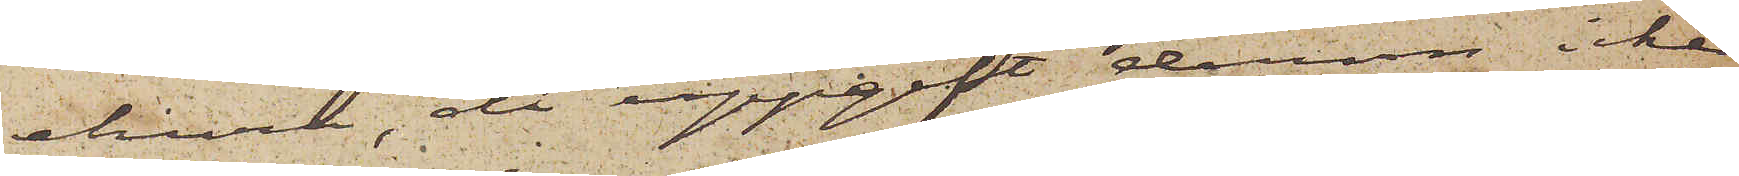ehuru, då uppgift derom icke
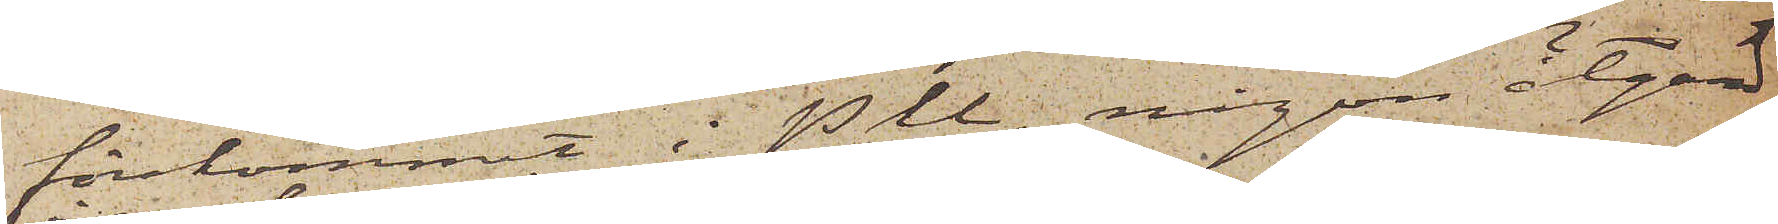förekommit i PU., någon åtgärd
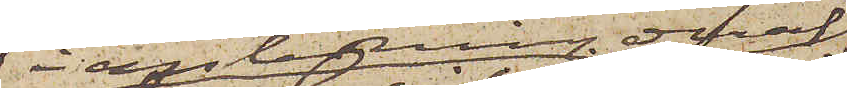i anledning deraf
